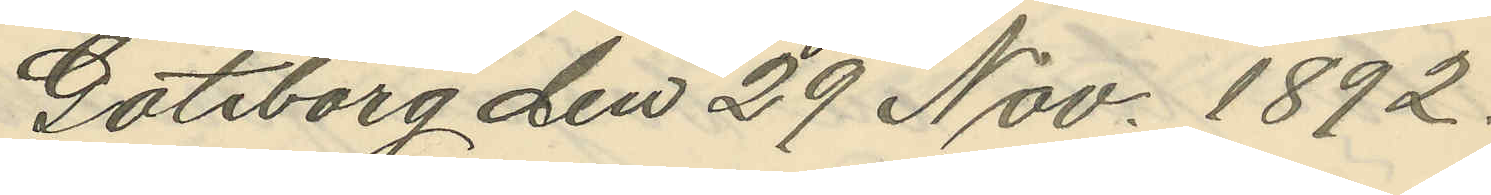Göteborg den 29 Nov. 1892.
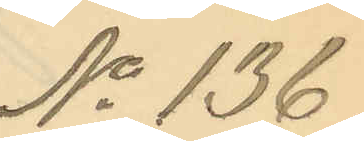No 136.
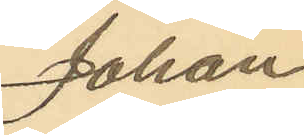Johan
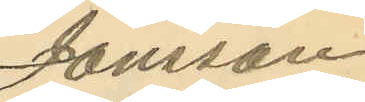Jönsson
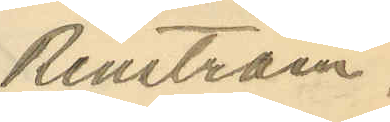Renström.
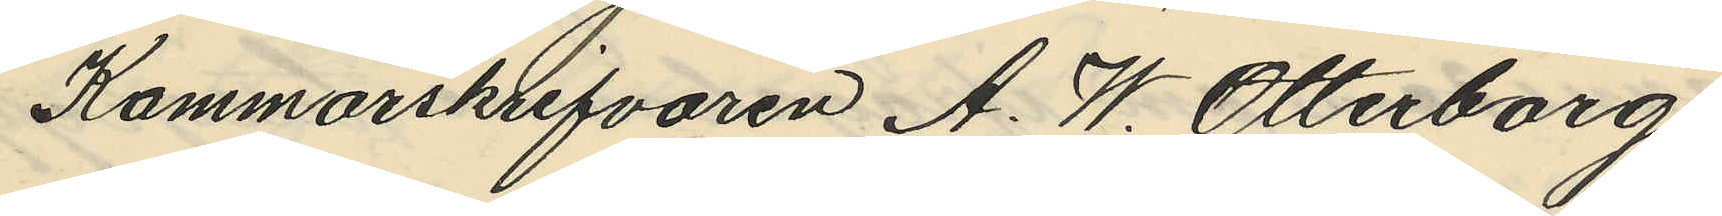Kammarskrifvaren A. W. Otterborg,
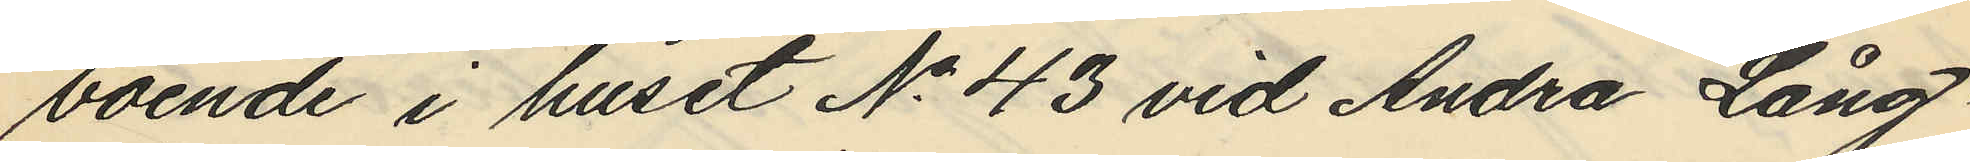boende i huset No 43 vid Andra Lång¬
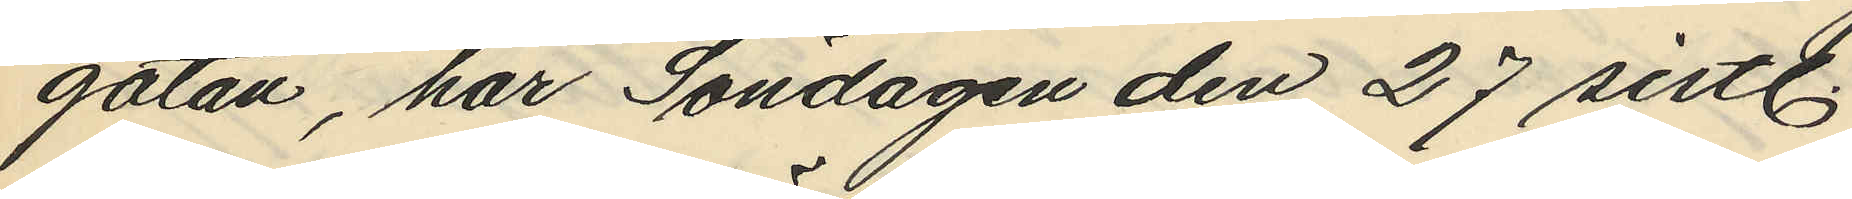gatan, har Söndagen den 27 sistl.
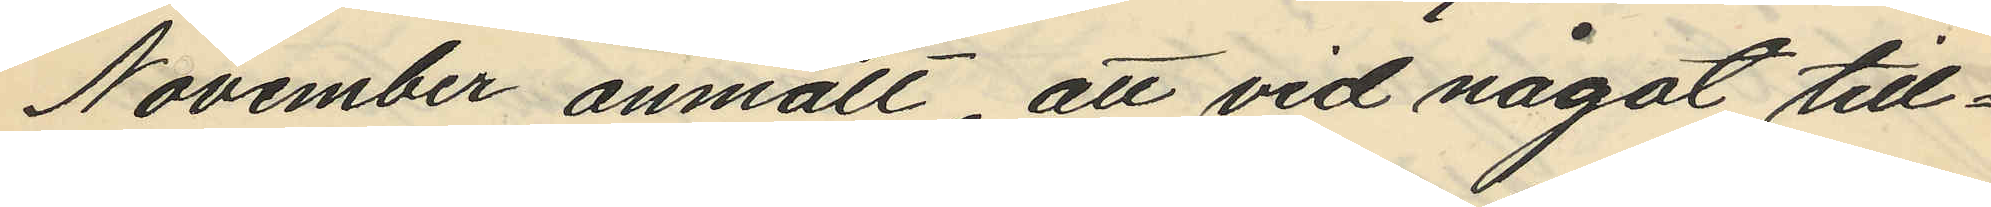November anmält att vid något till¬
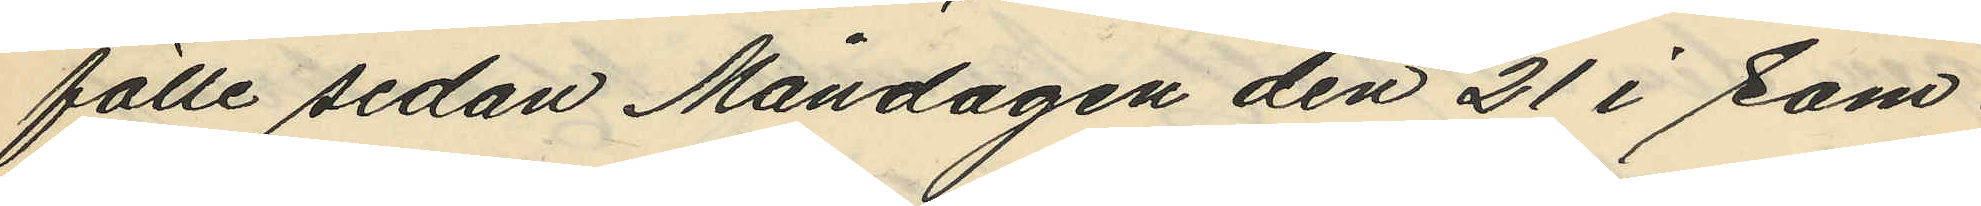fälle sedan Måndagen den 21 i sam¬
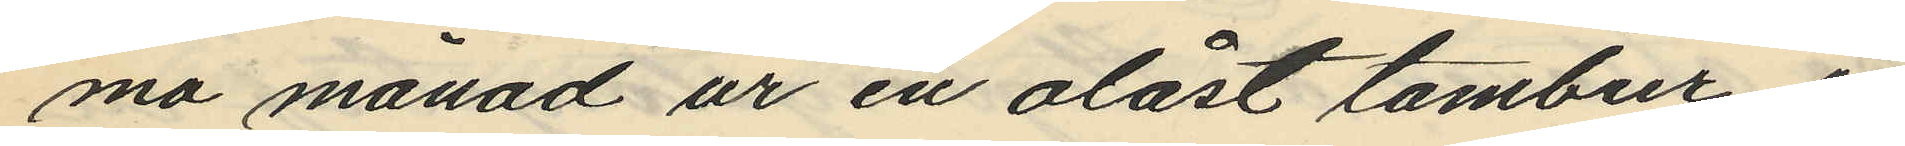ma månad ur en olåst tambur i
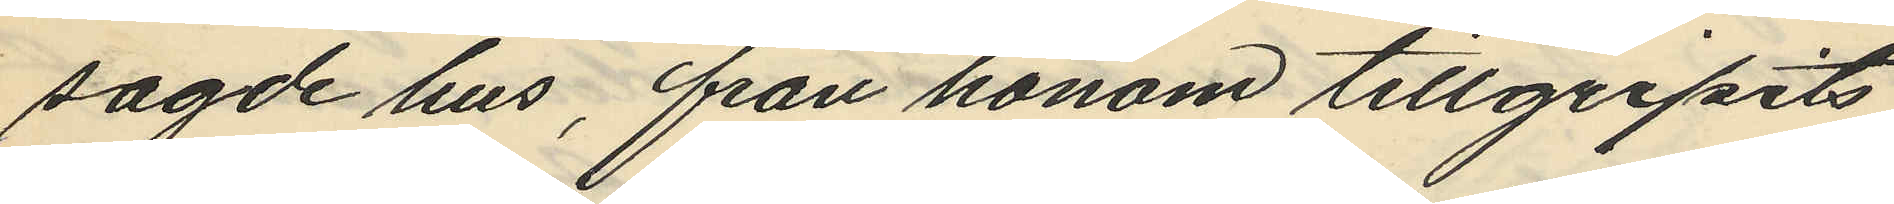sagde hus, från honom tillgripits
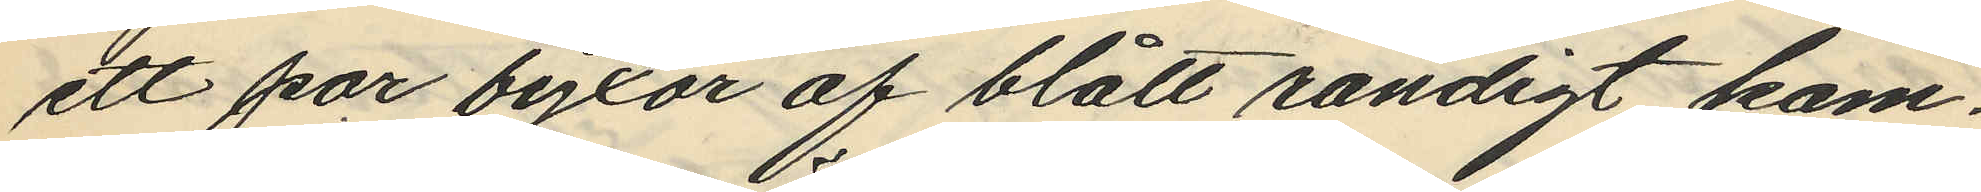ett par byxor af blått randigt kam¬
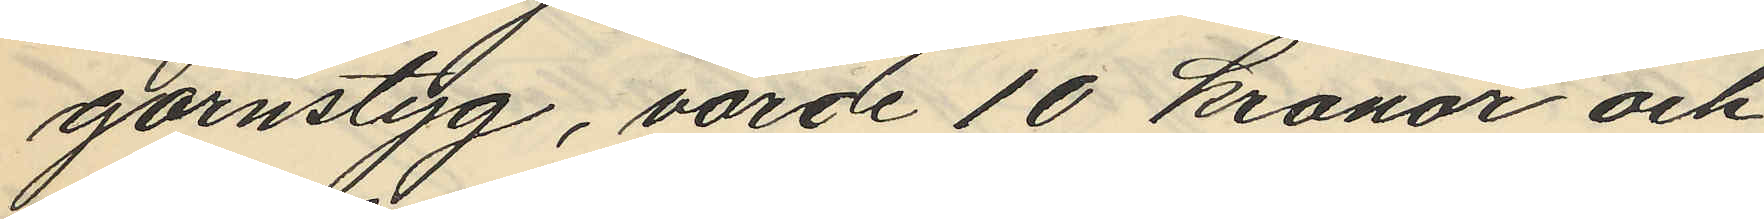garnstyg, värde 10 kronor och
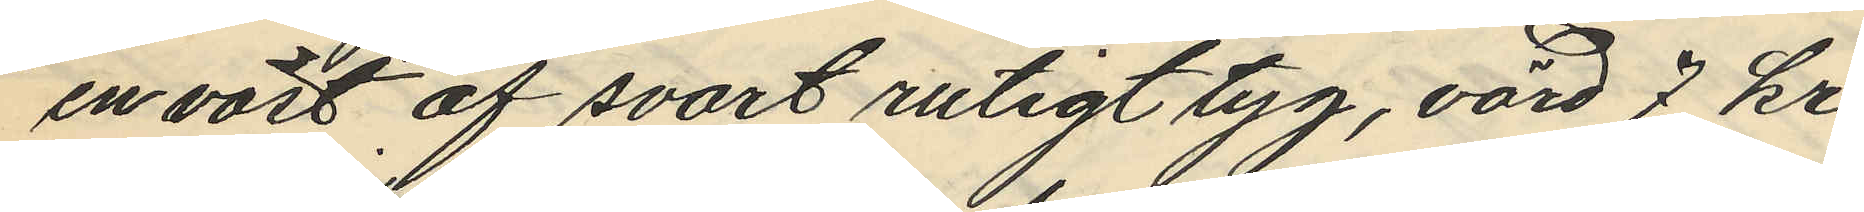en väst af svart rutigt tyg, värd 7 kr
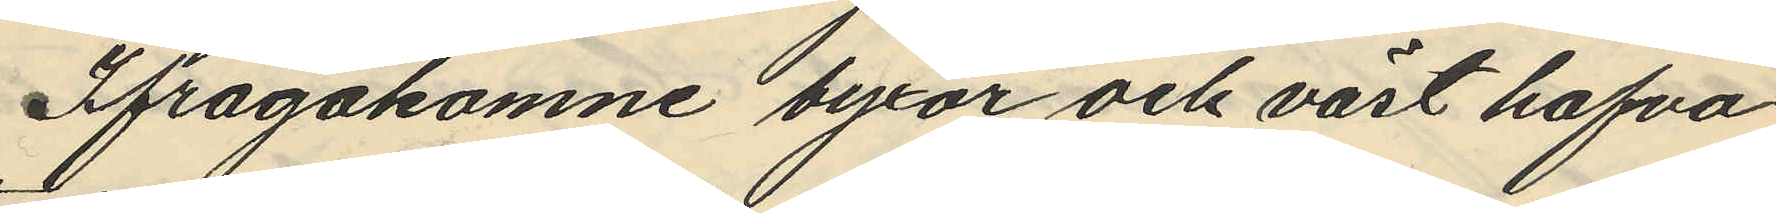Ifrågakomne byxor och väst hafva
